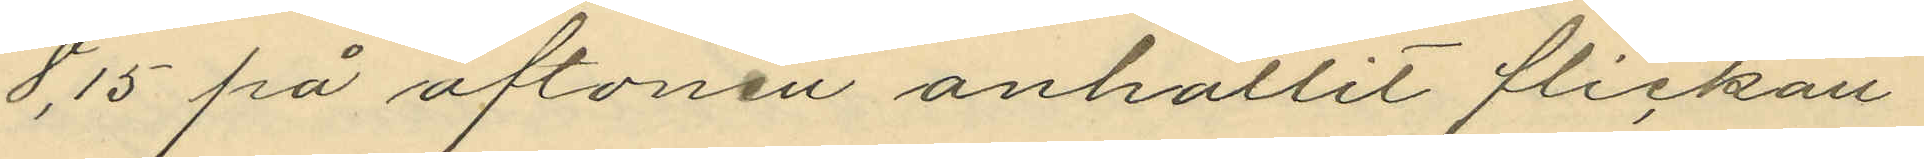8,15 på aftonen anhållit flickan
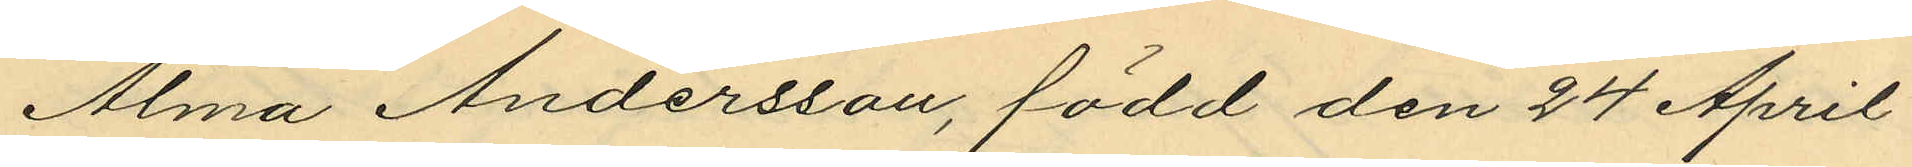Alma Andersson, född den 24 April
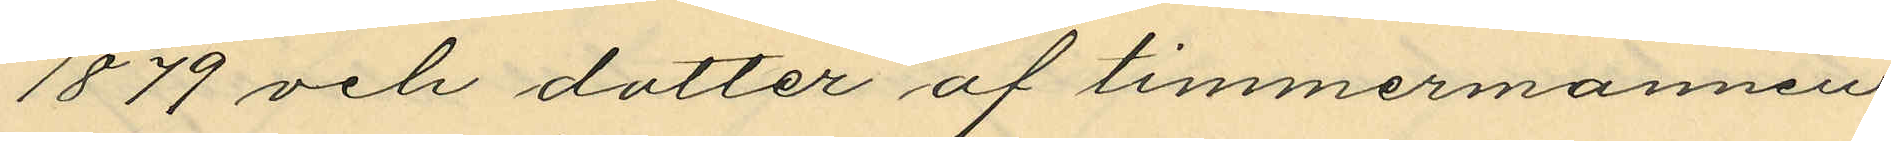1879 och dotter af timmermannen
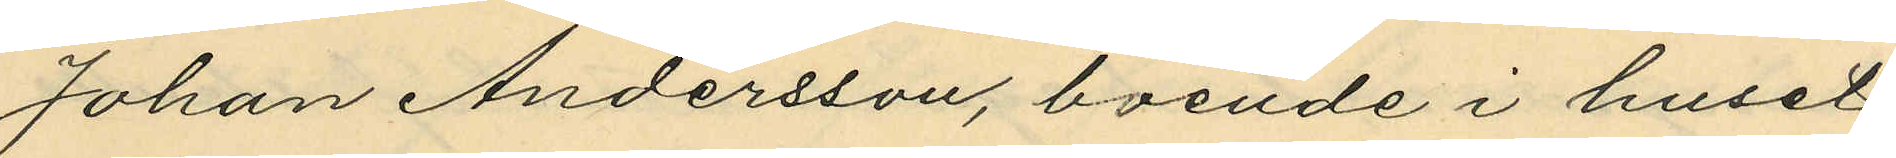Johan Andersson, boende i huset
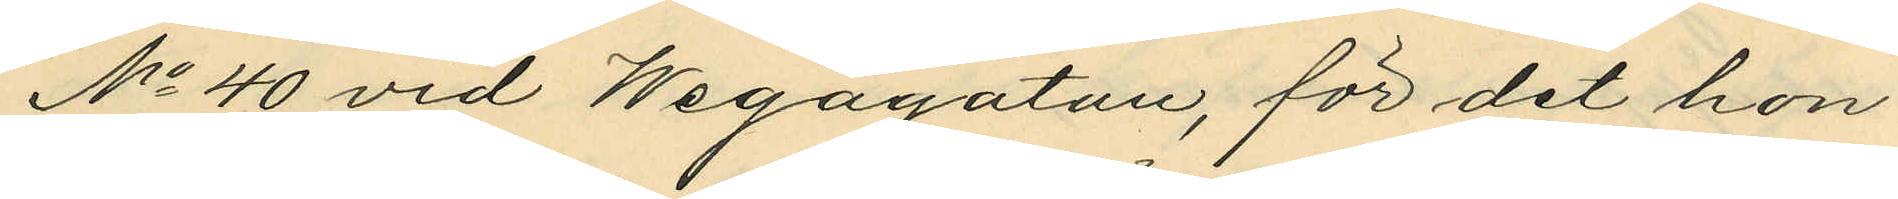No 40 vid Wegagatan, för det hon
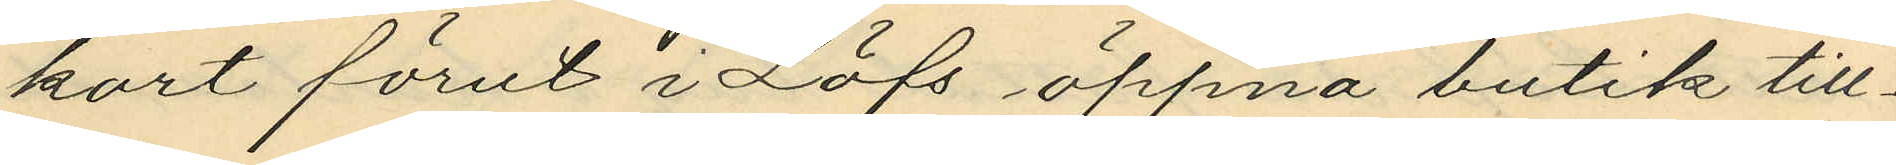kort förut i Löfs öppna butik till¬
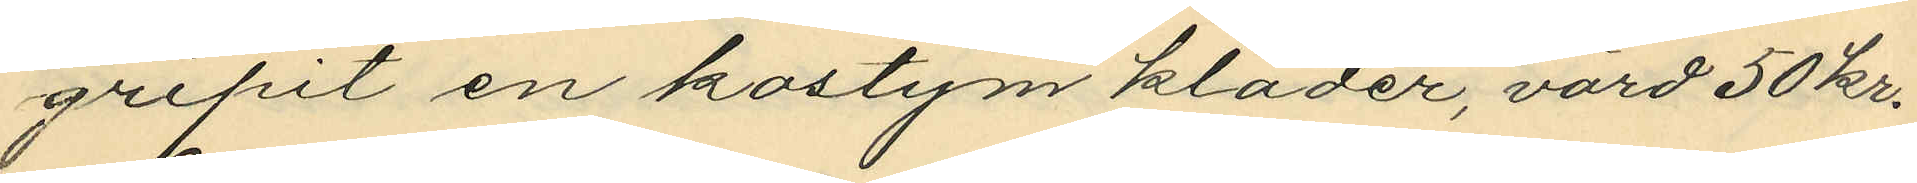gripit en kostym kläder, värd 50 kr.
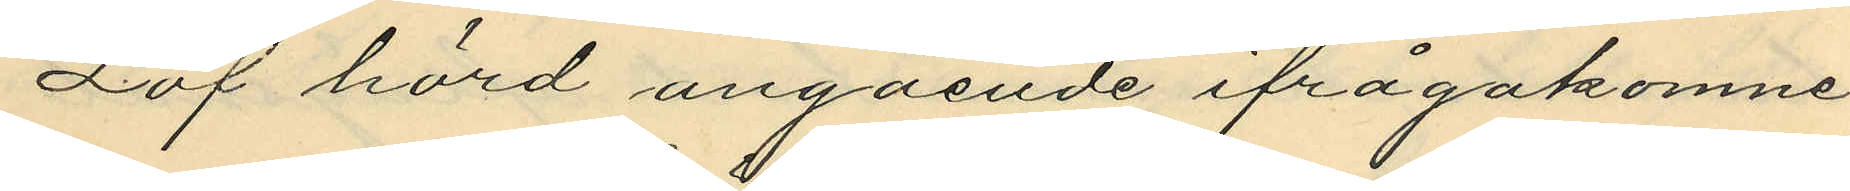Löf hörd angående ifrågakomne
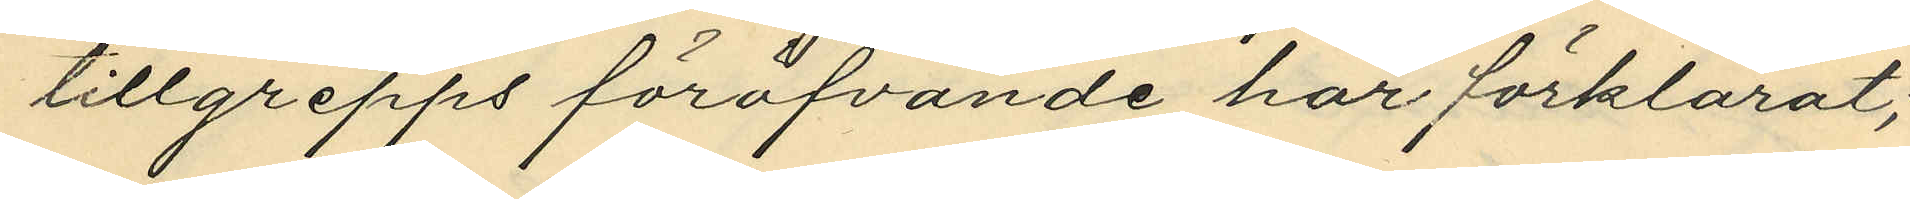tillgrepps föröfvande har förklarat;
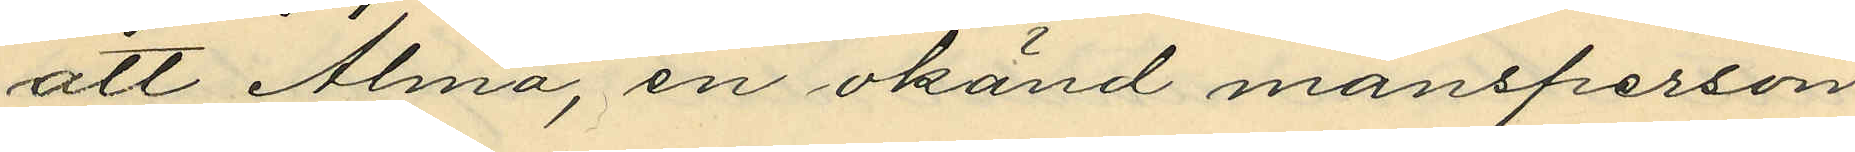att Alma, en okänd mansperson
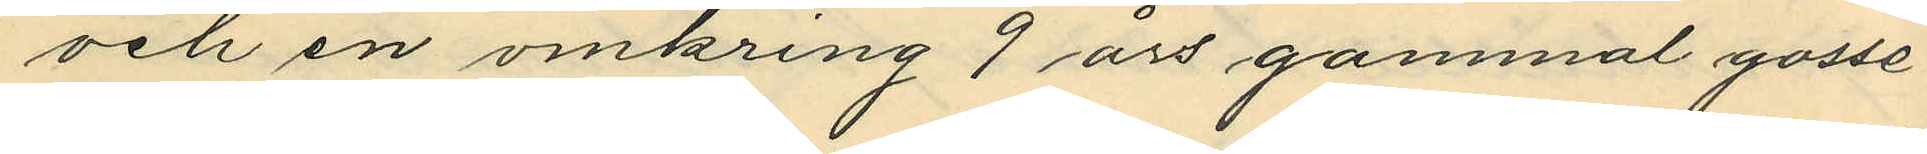och en omkring 9 års gammal gosse
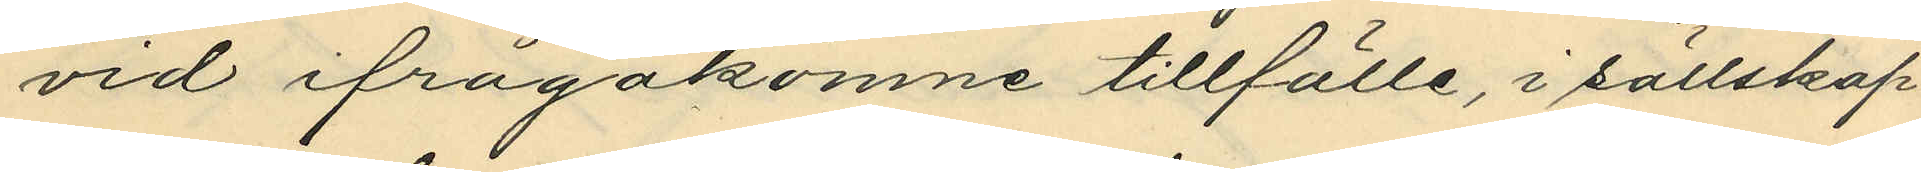vid ifrågakomne tillfälle, i sällskap
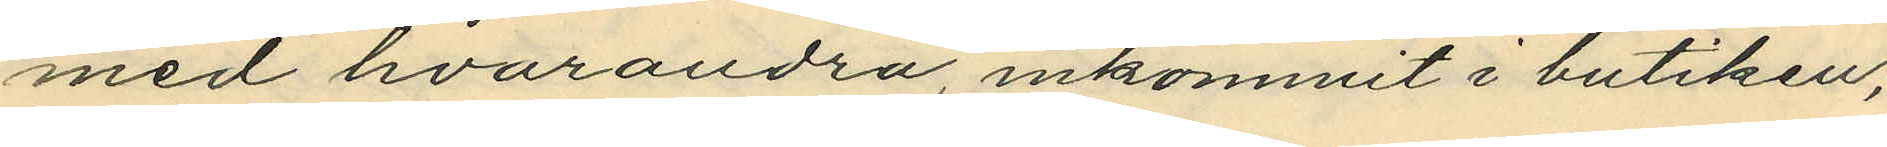med hvarandra, inkommit i butiken;
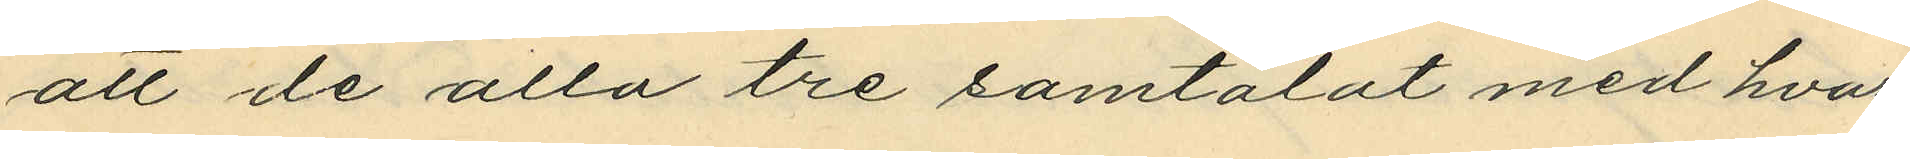att de alla tre samtalat med hvar¬
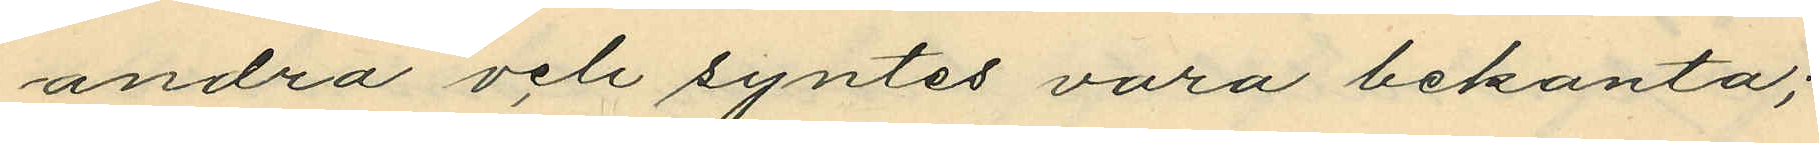andra och syntes vara bekanta;
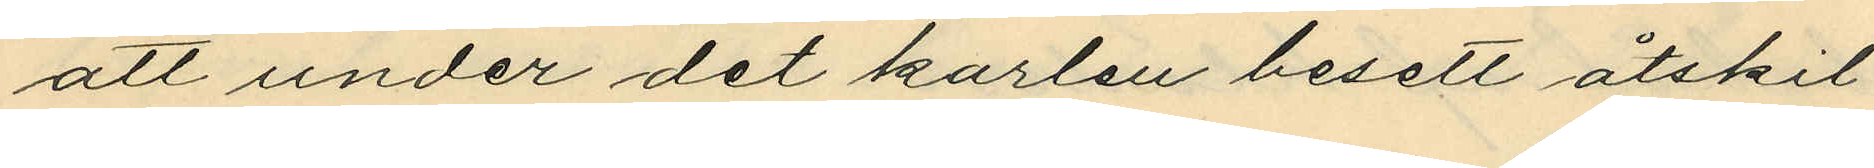att under det karlen besett åtskil¬
